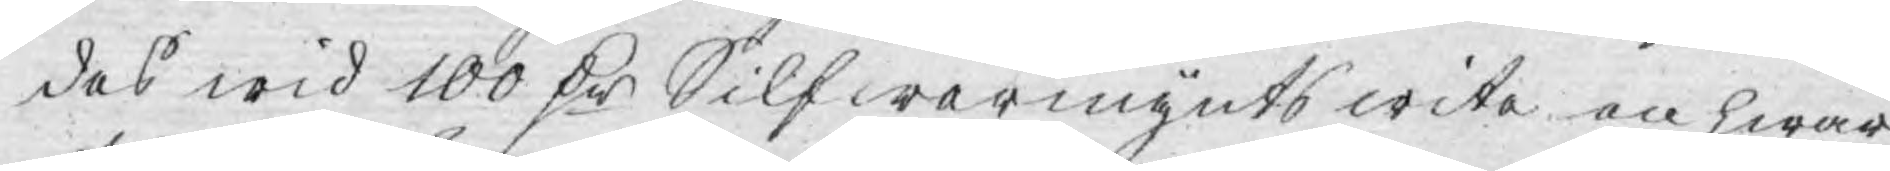des wid 100 D:r Silfwermynts wite en hwar
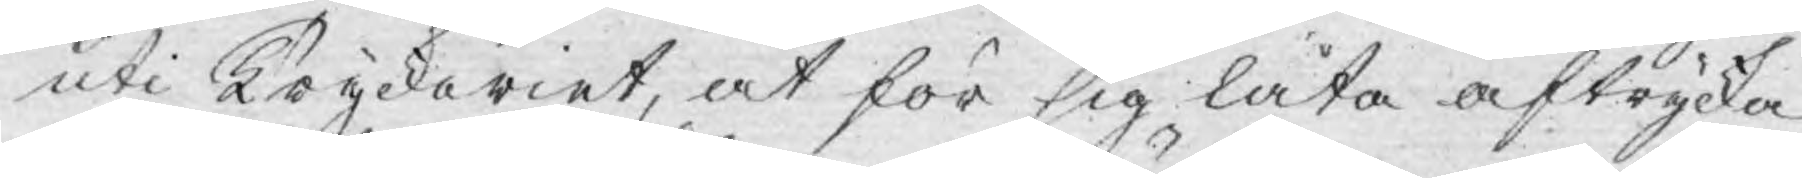uti Tryckeriet, at för sig låta aftrycka
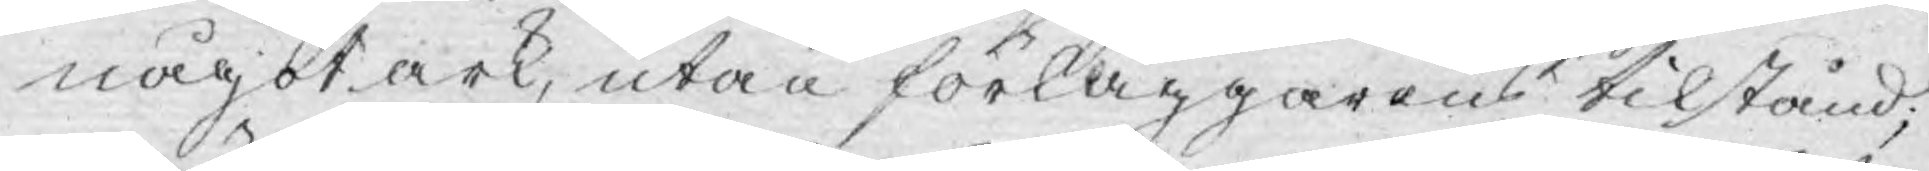något ark, utan förläggarens tilstånd;
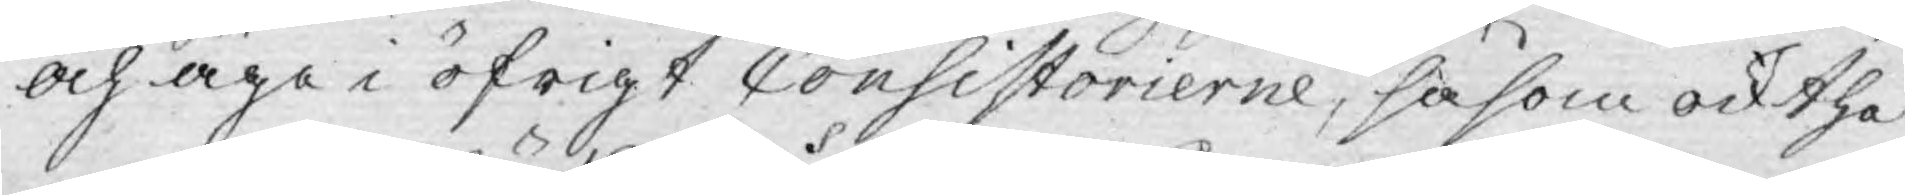och äga i öfrigt Consistorierne, såsom ock the
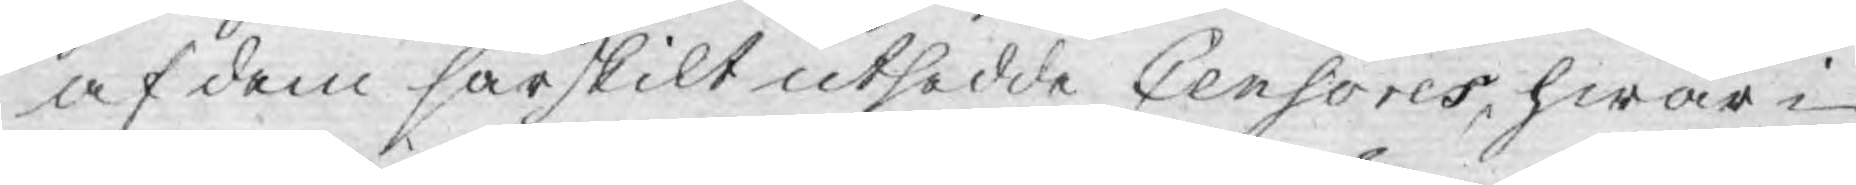af dem särskilt utsedde Censores, hwar i
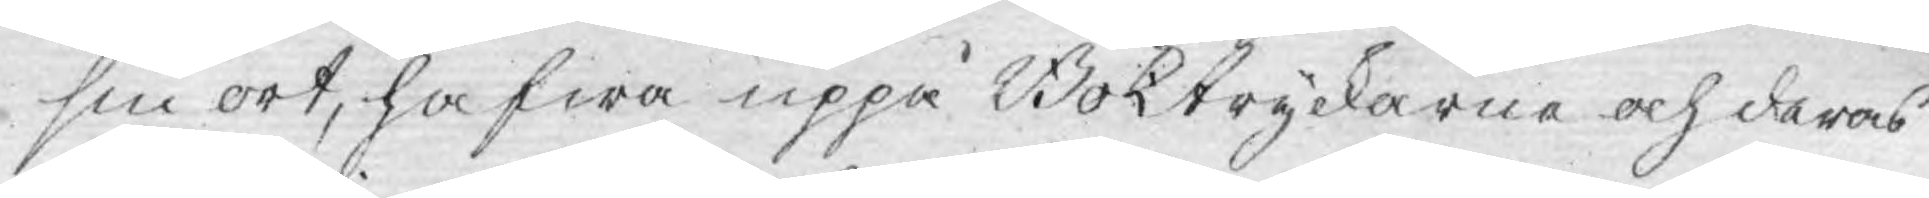sin ort, hafwa uppå Boktryckarne och deras
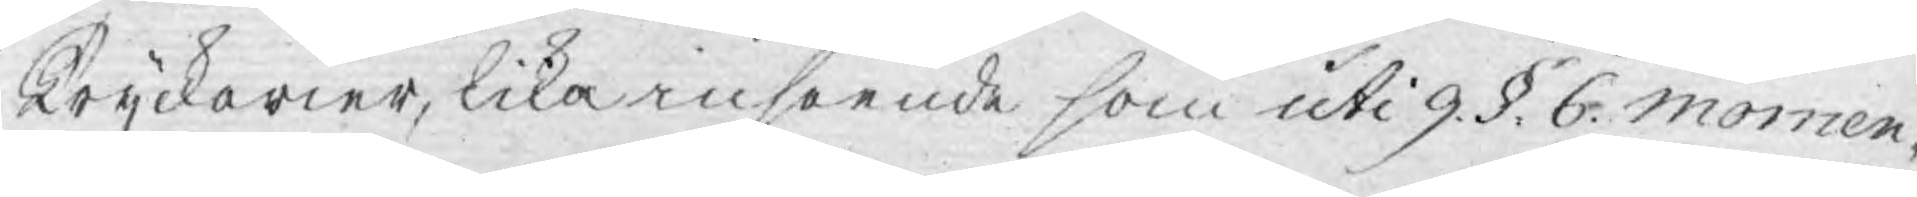Tryckerier, lika inseende som uti 9. §. 6. Momen¬
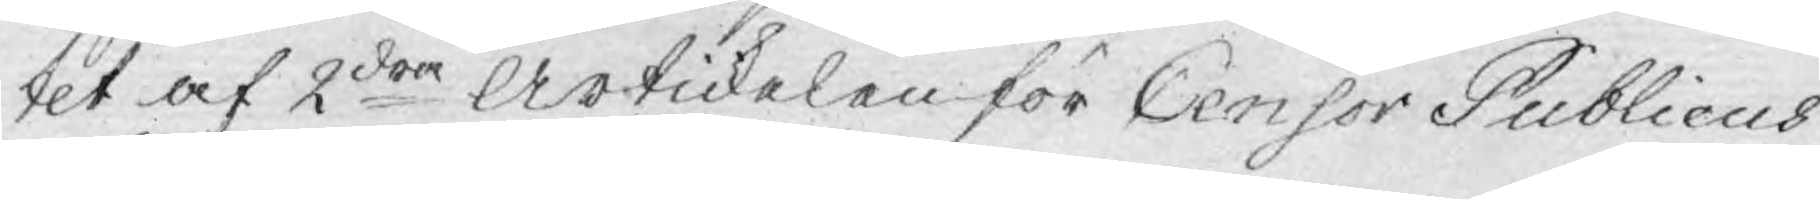tet af 2dra Artickelen för Censor Publicus
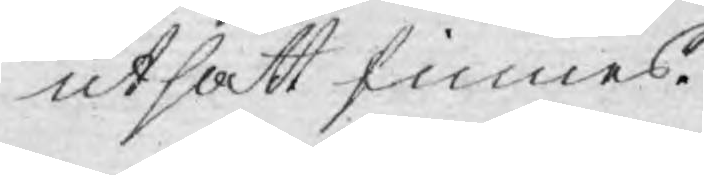utsatt finnes.
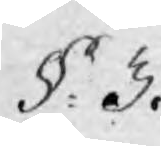§. 3.
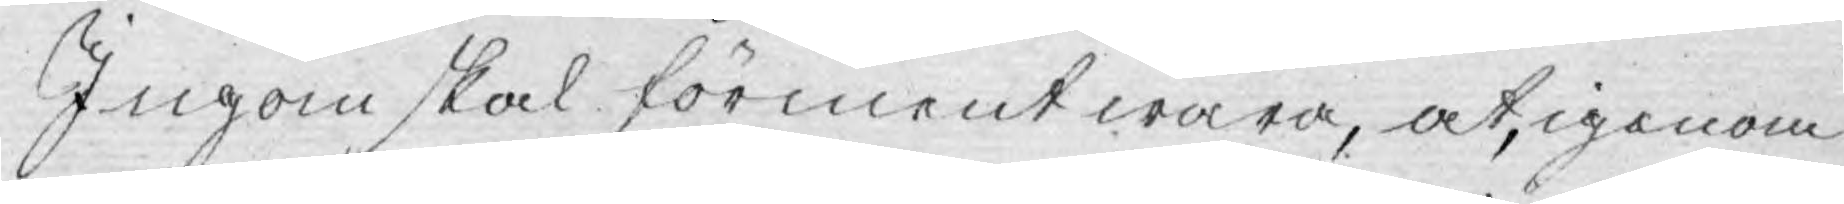Ingen skal förment wara, at, igenom
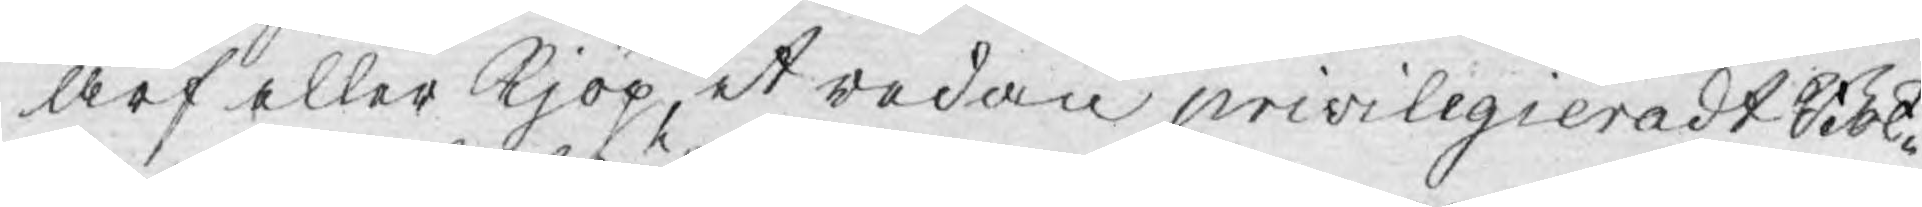arf eller kjöp, et redan priviligieradt Bok¬
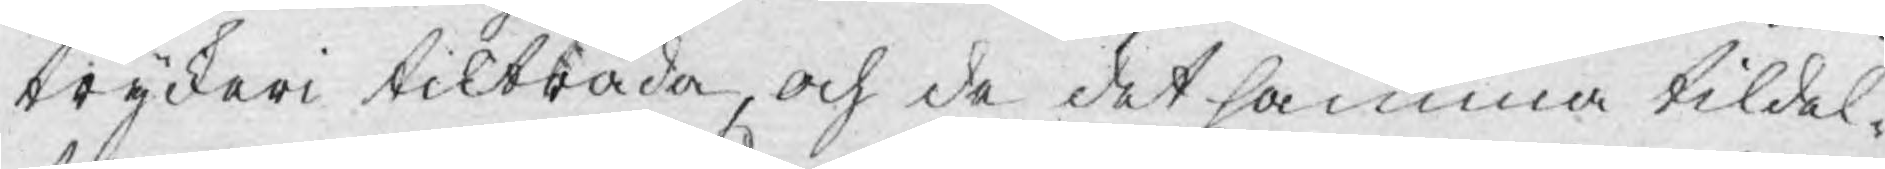tryckeri tilträda, och de det samma tildel¬
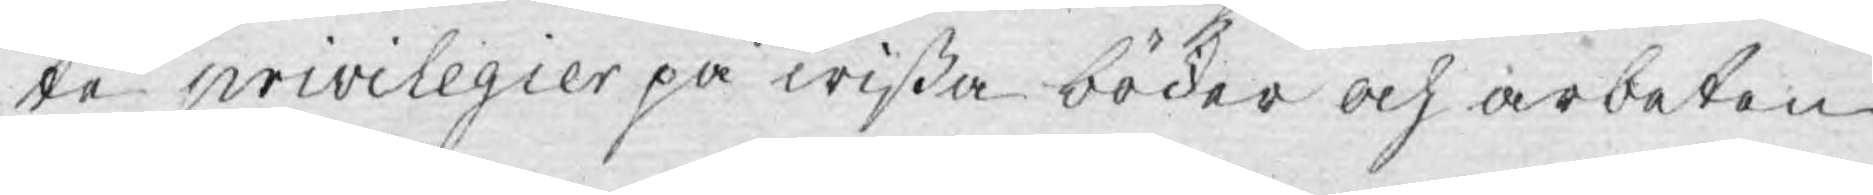te privilegier på wißa böcker och arbeten
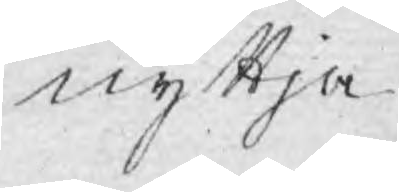nyttja.
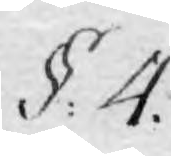§: 4.
